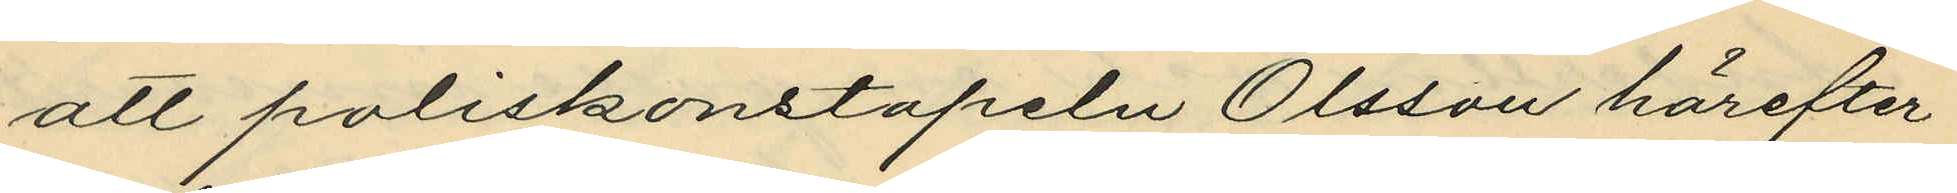att poliskonstapeln Olsson härefter
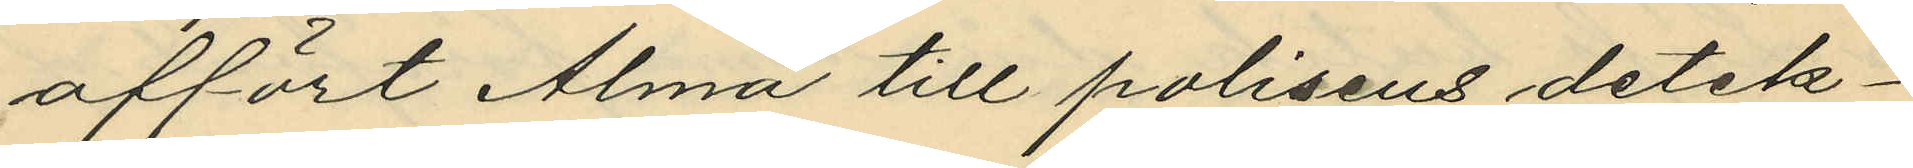affört Alma till polisens detek¬
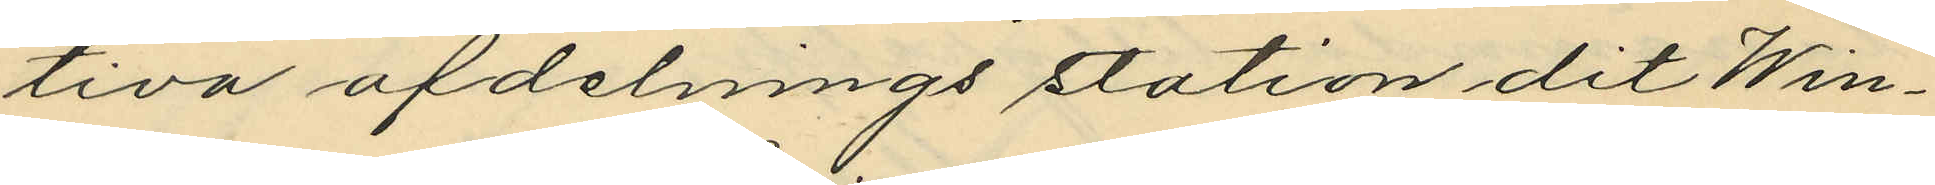tiva afdelnings station dit Win¬
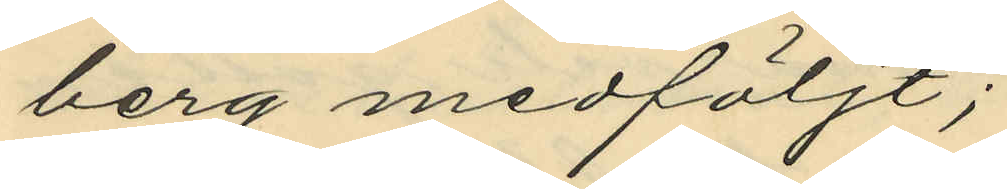berg medföljt;
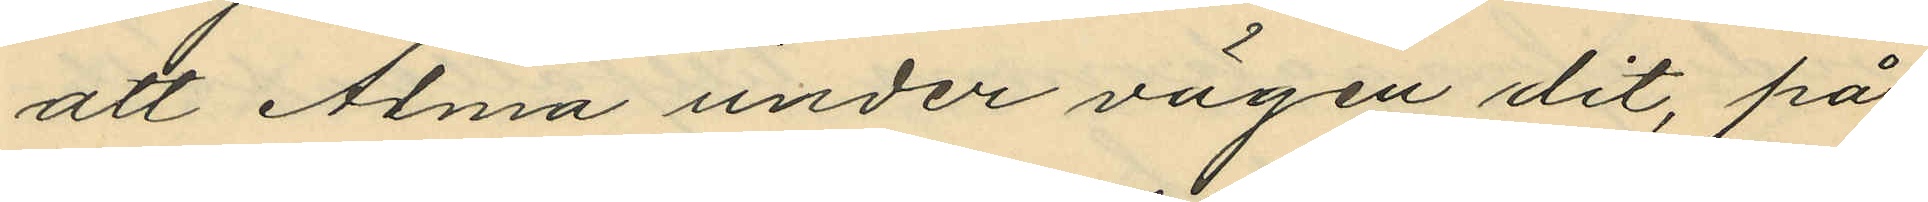att Alma under vägen dit, på
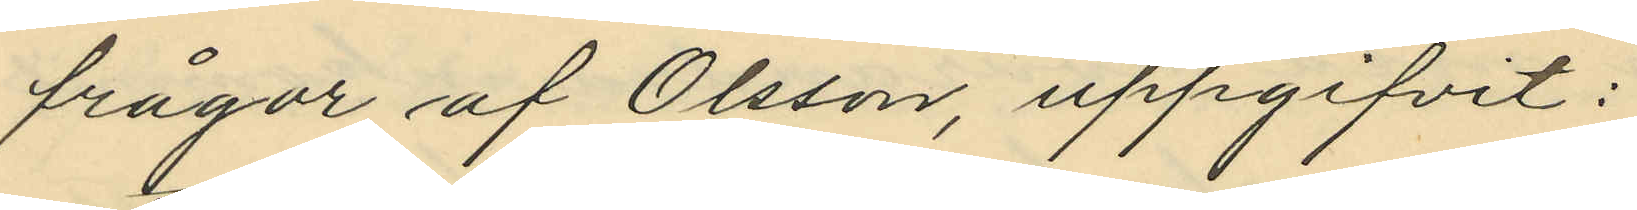frågor af Olsson, uppgifvit:
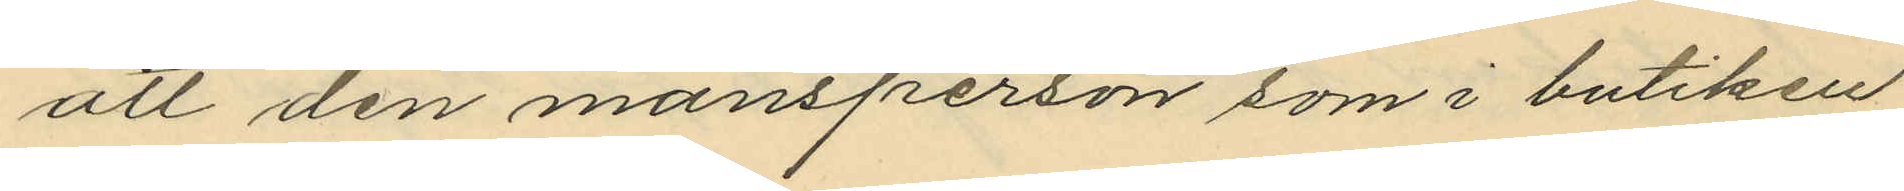att den mansperson som i butiken
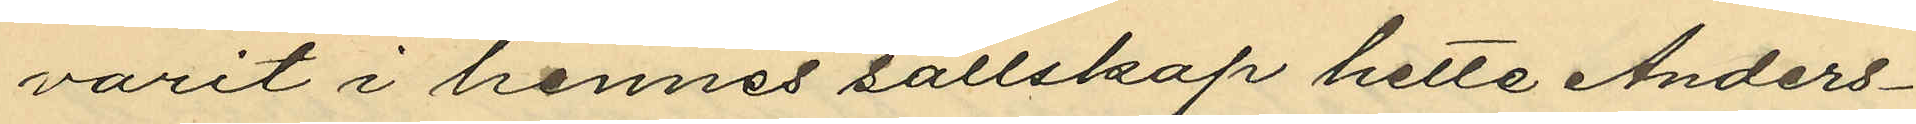varit i hennes sällskap hette Anders¬
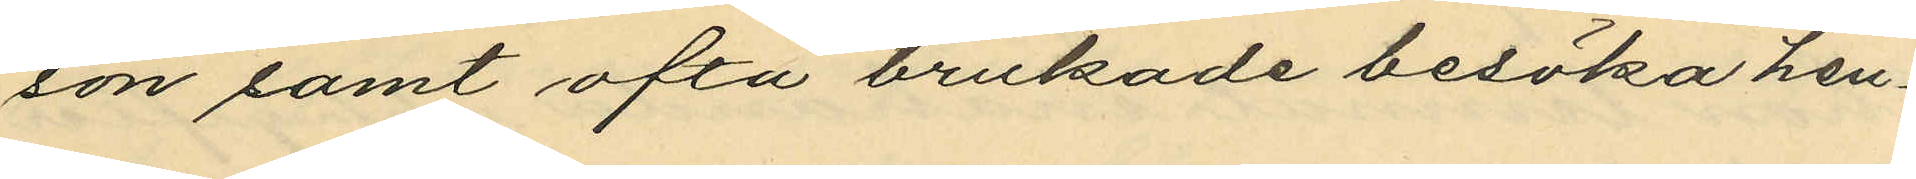son samt ofta brukade besöka hen¬
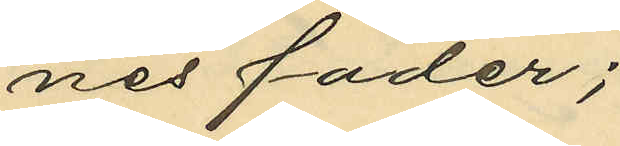nes fader;
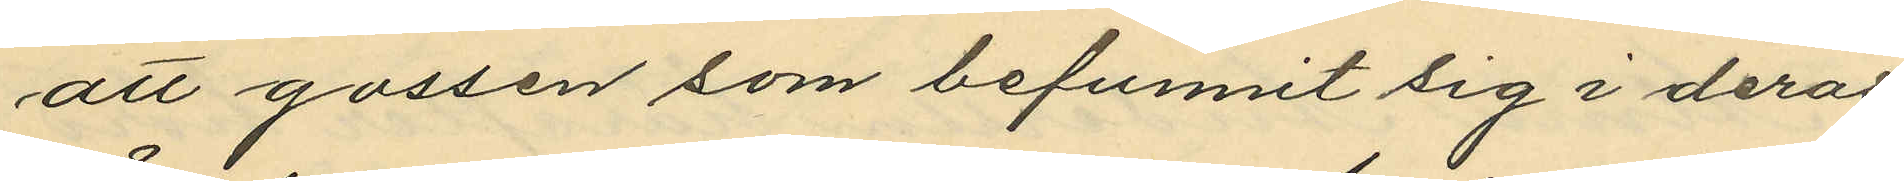att gossen som befunnit sig i deras
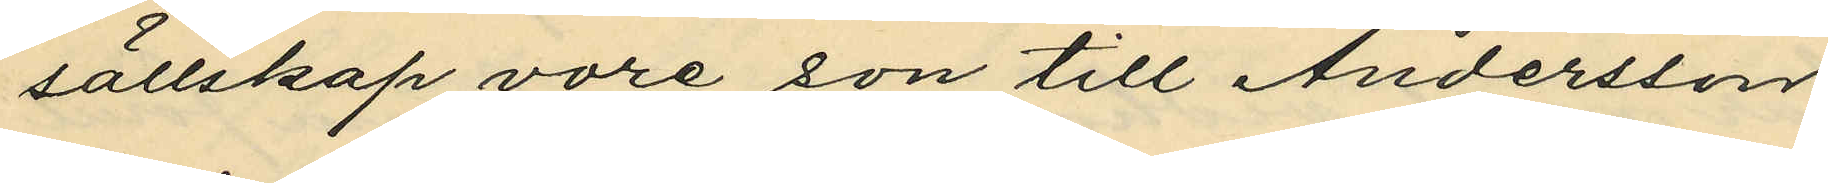sällskap vore son till Andersson
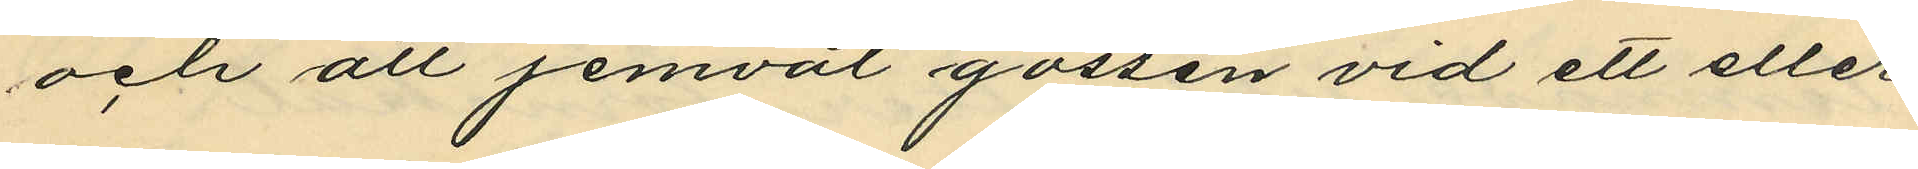och att jemväl gossen vid ett eller
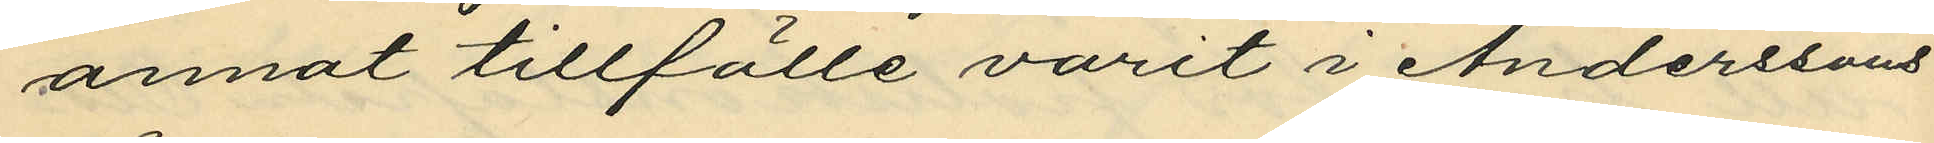annat tillfälle varit i Anderssons
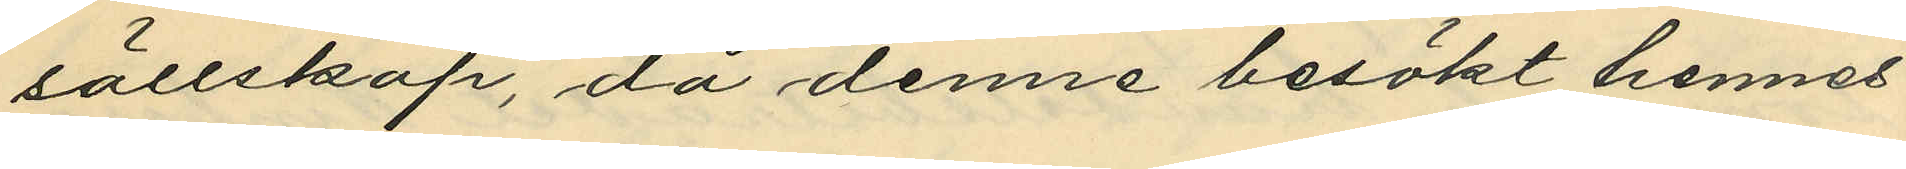sällskap, då denne besökt hennes
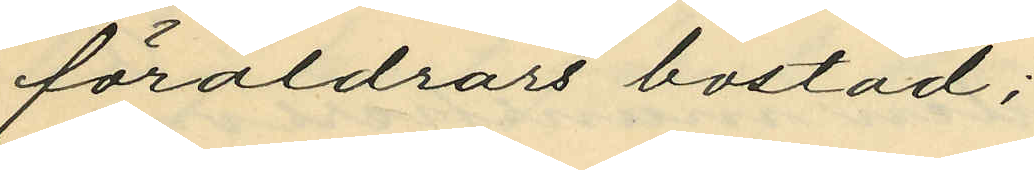föräldrars bostad;
